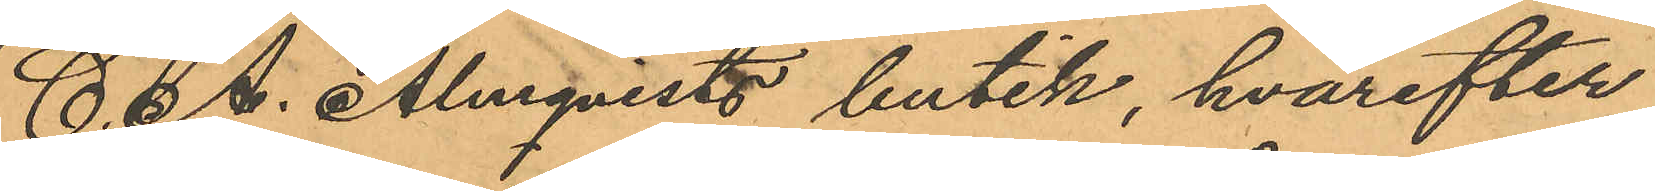C. A. Almqvists butik, hvarefter
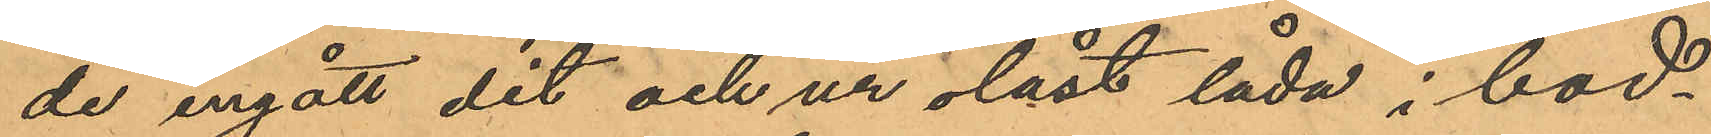de ingått dit och ur olåst låda i bod¬
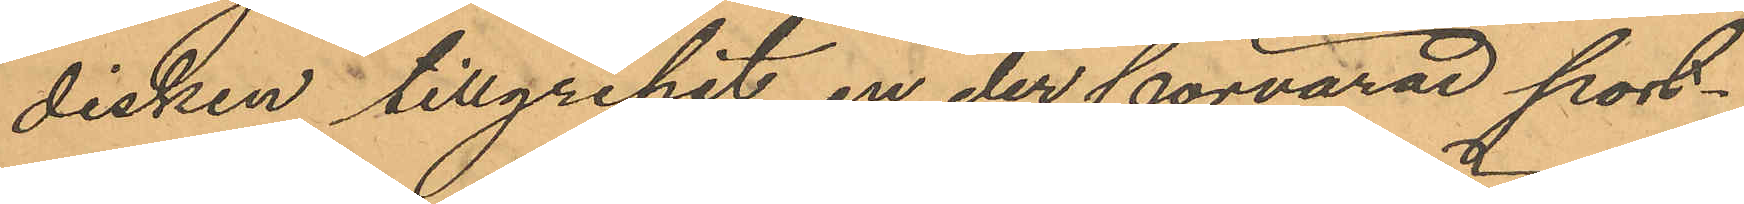disken tillgripit en der förvarad port¬
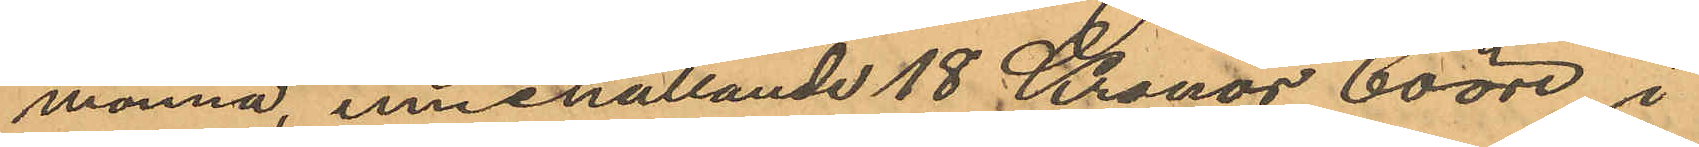monnä, innehållande 18 Kronor 60 öre i
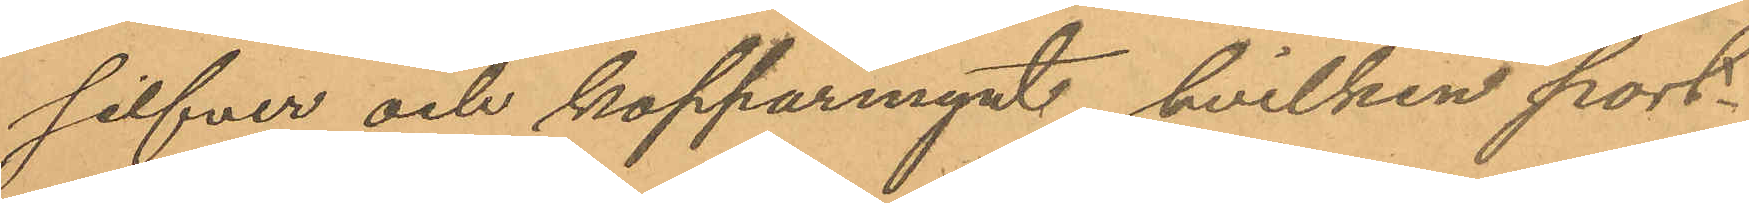silfver och kopparmynt, hvilken port¬
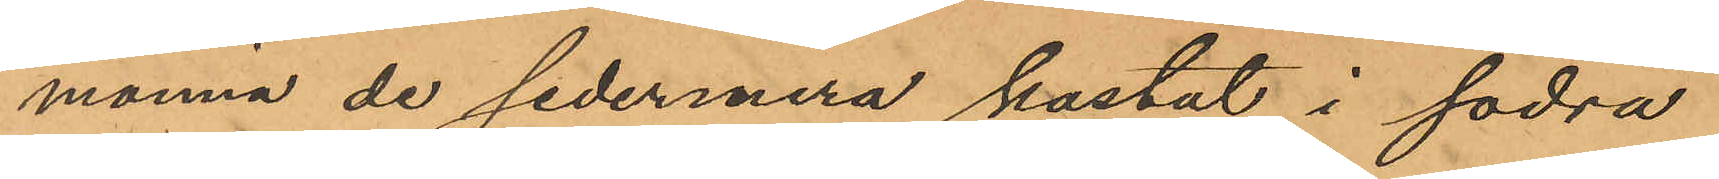monnä de sedermera kastat i södra
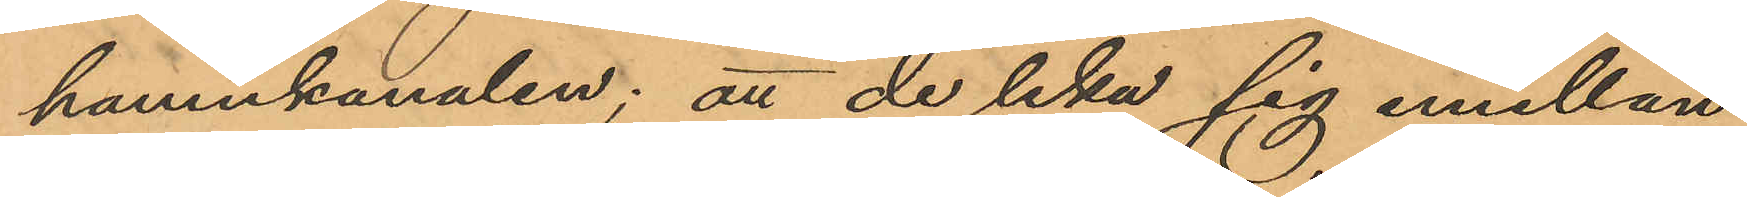hamnkanalen; att de lika sig emellan
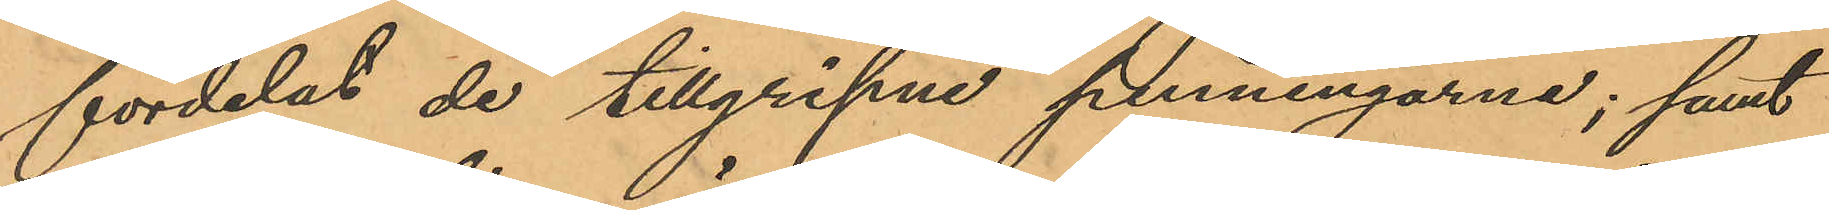fördelat de tillgripne penningarne; samt
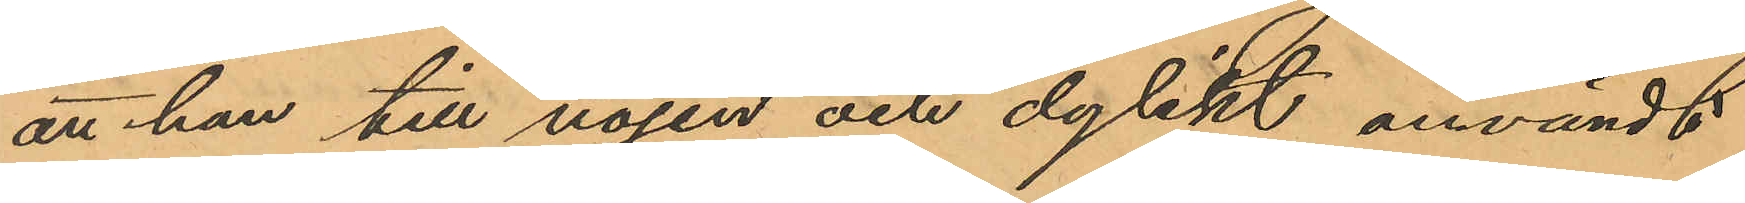att han till nöjen och dylikt användt
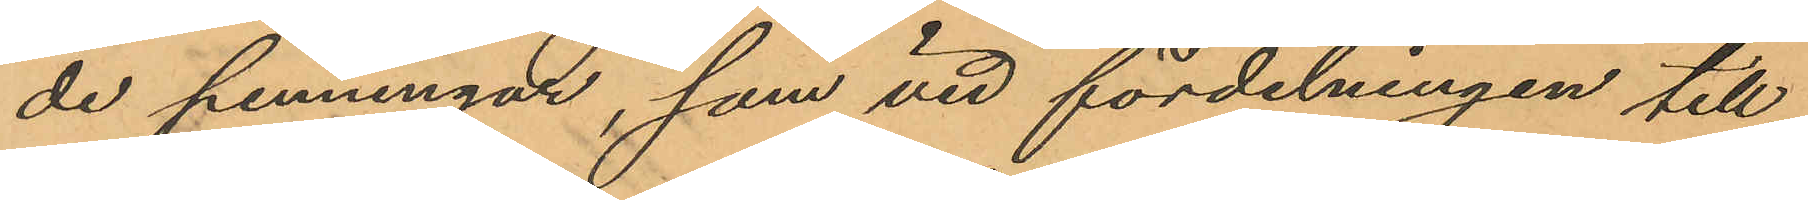de penningar, som vid fördelningen till¬
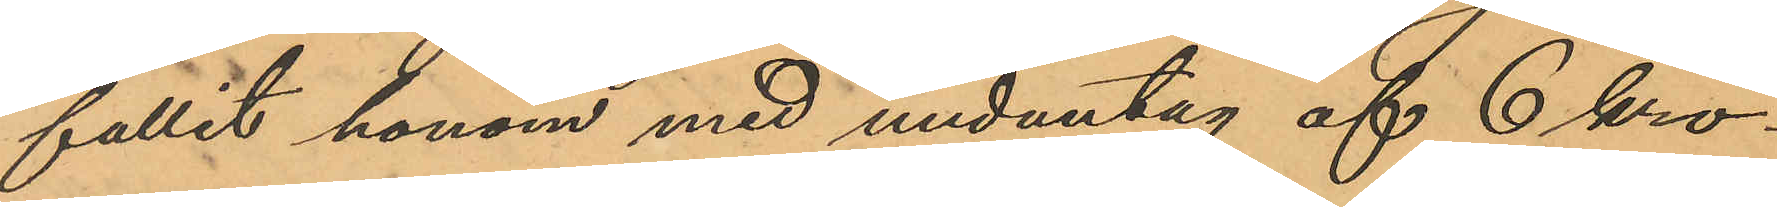fallit honom med undantag af 6 kro¬
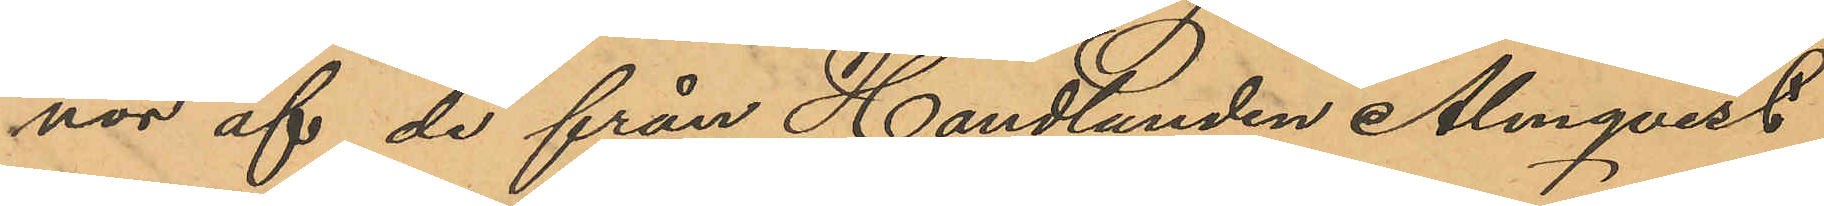nor af de från Handlanden Almqvist
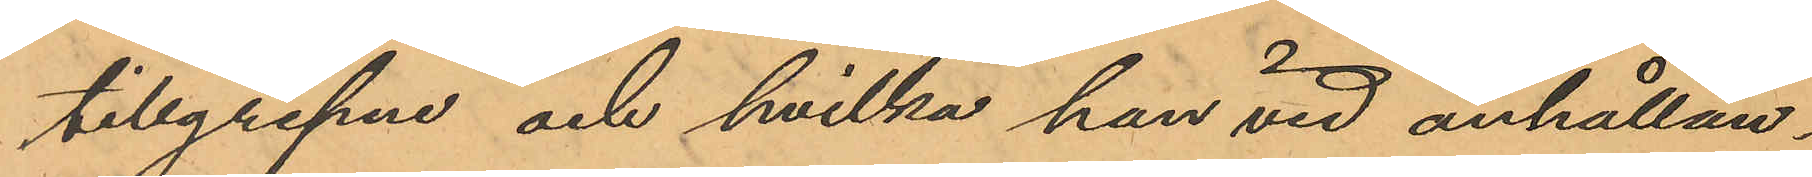tillgripne och hvilka han vid anhållan¬
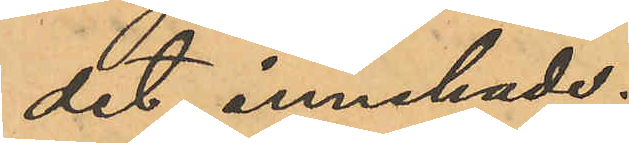det innehade;
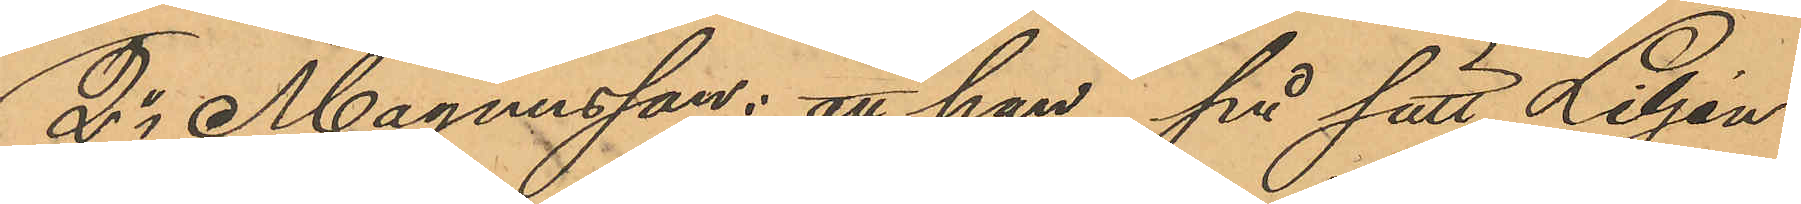2o Magnusson: att han, på sätt Liljen¬
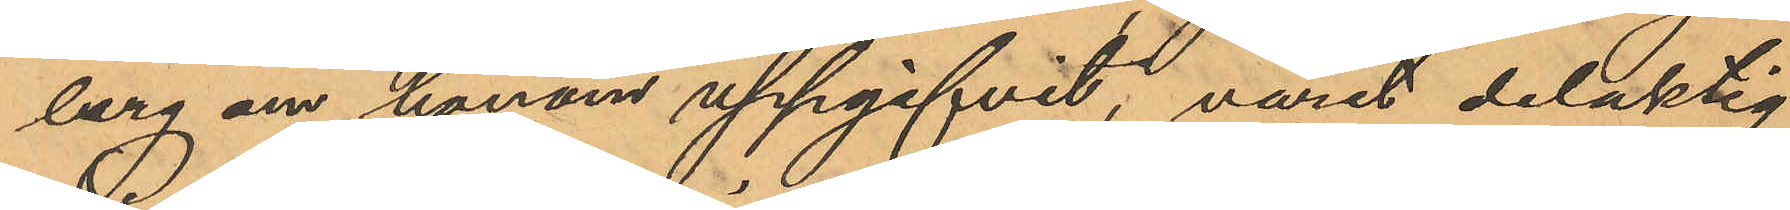berg om honom uppgifvit, varit delaktig
